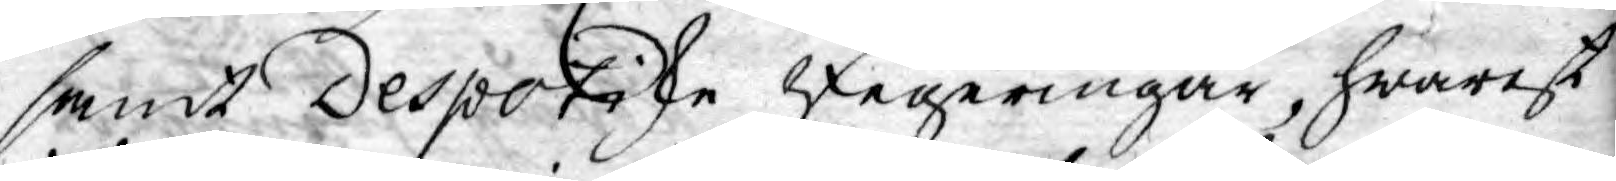samt Despotiske Regeringar, hwarest
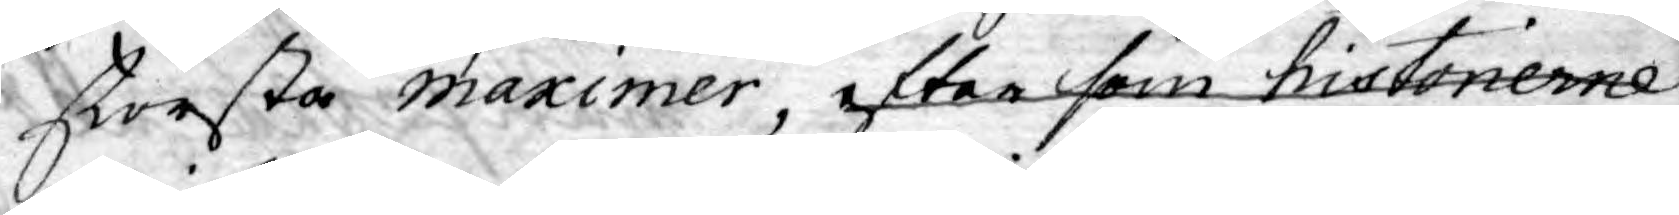största maximer, efter som historierne
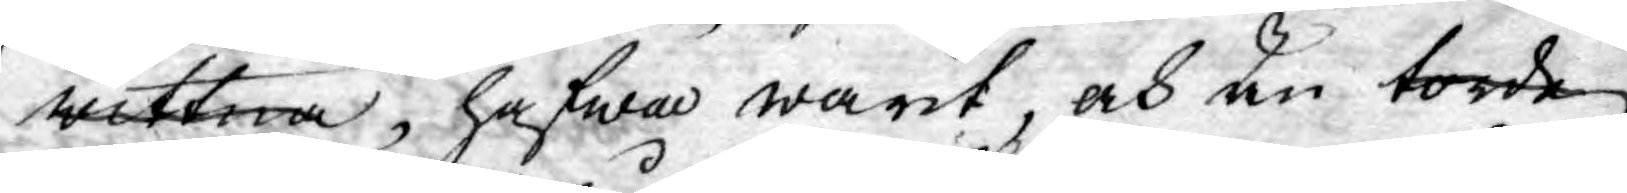wittna, hafwa warit, och än torde
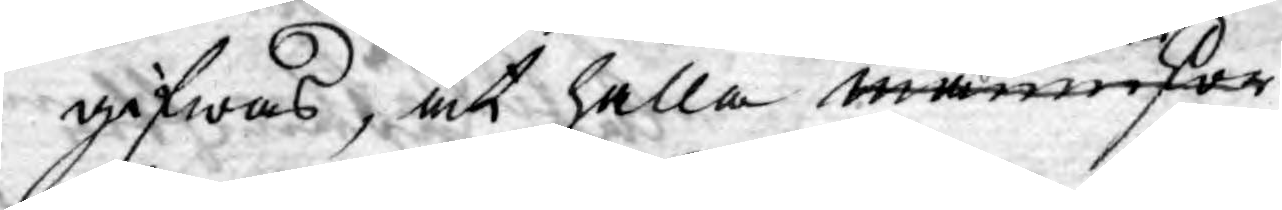gifwas, at hålla menniskor
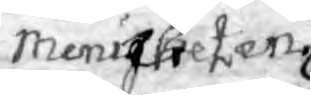Menigheten
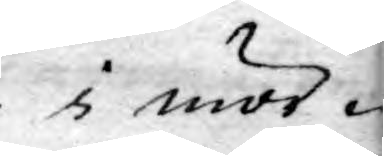i mör¬
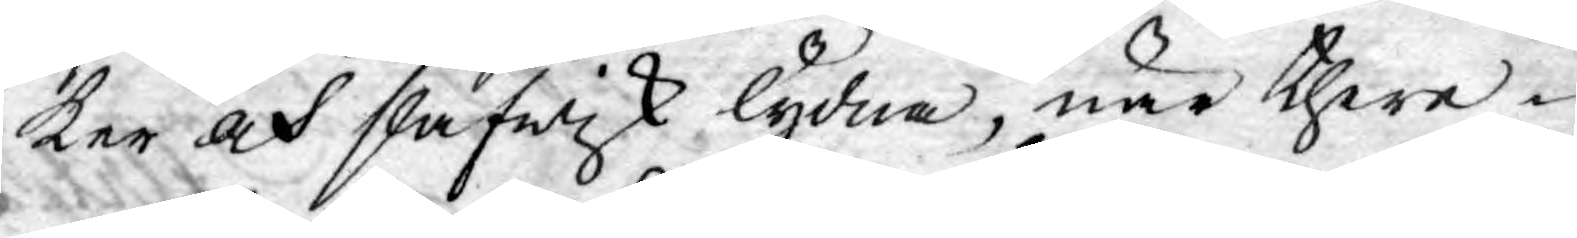ker och slafwisk lydna, när there¬
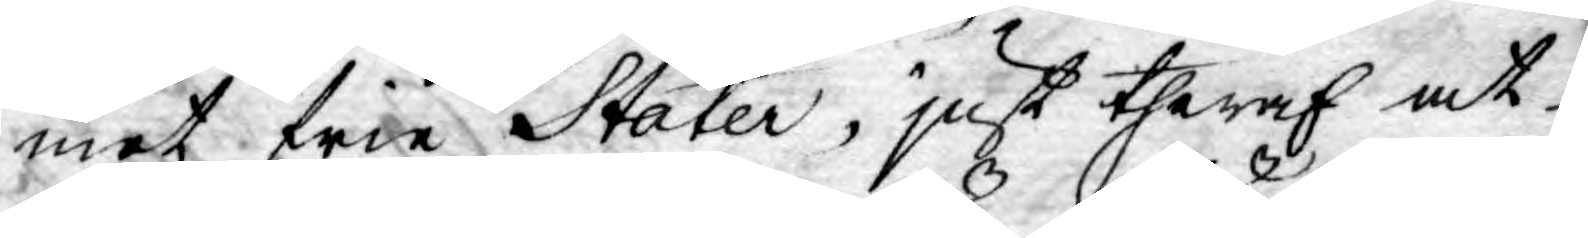mot frie Stater, just theraf at
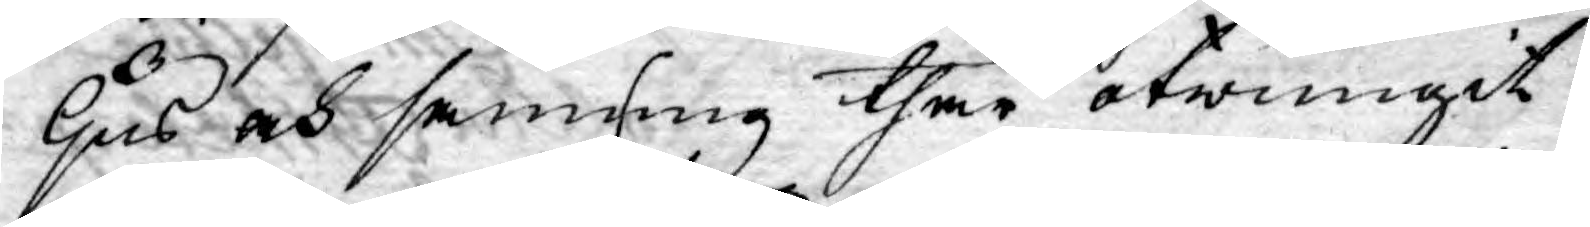ljus och sanning thär otwungit
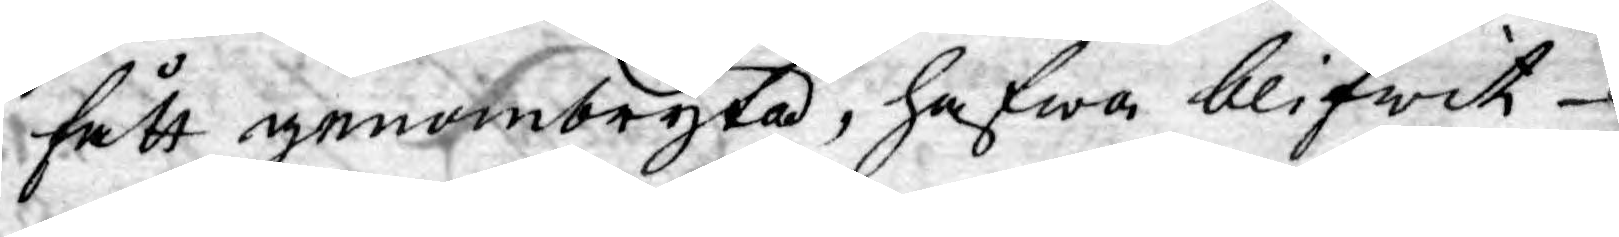fått genombryta, hafwa blifwit
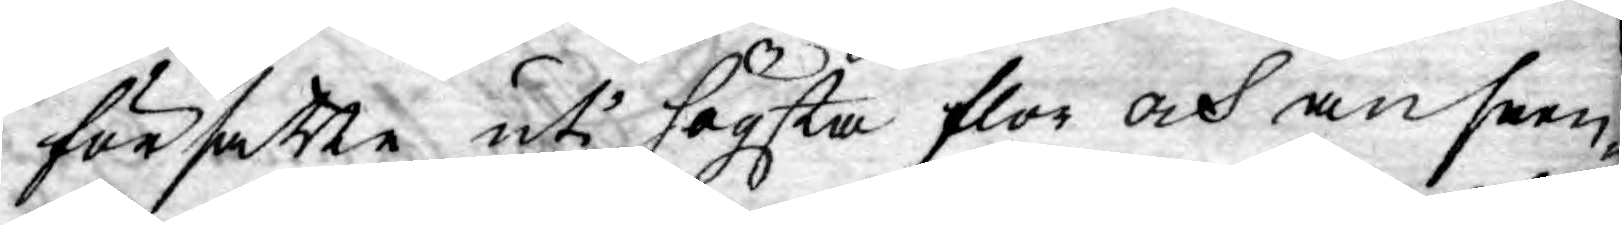försatte uti högsta flor och anseen¬
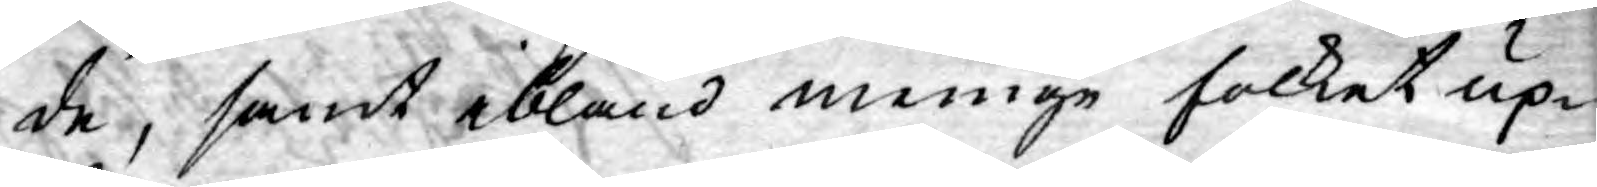de, samt ibland menige folket up¬
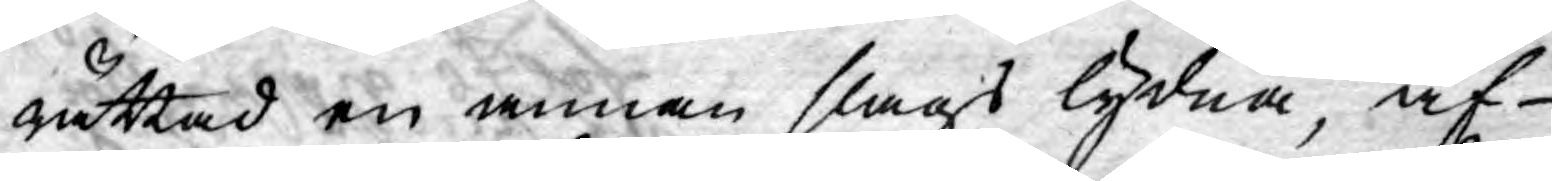rättad en annan slags lydna, af
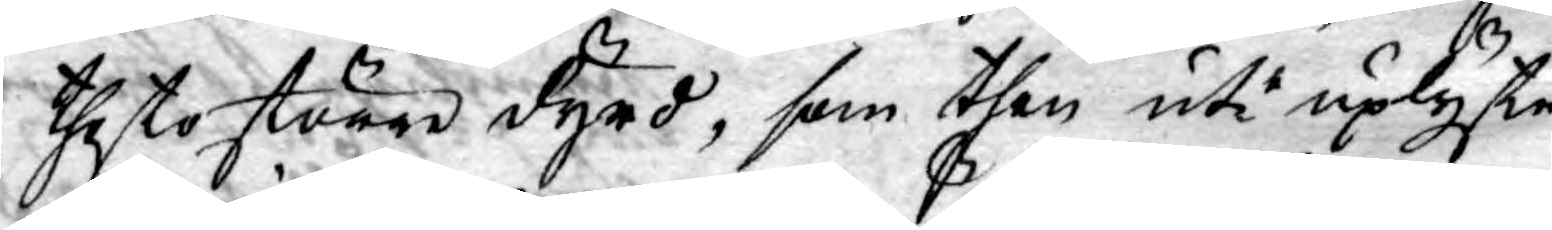thesto större dyrd, som then uti uplyste
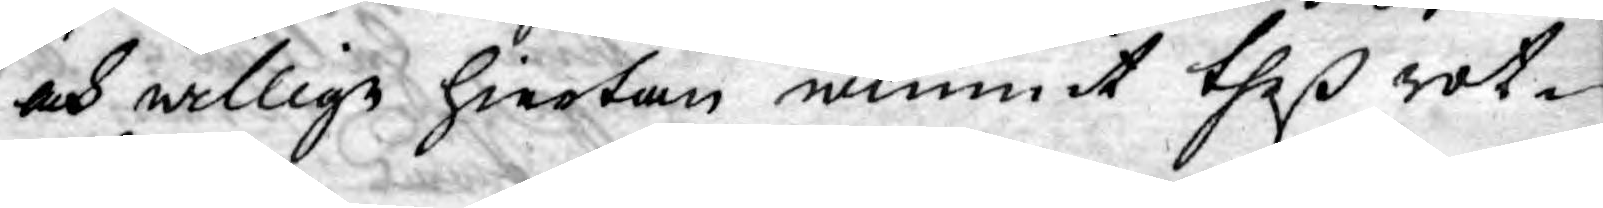och willige hiertan wunnit theß rot¬
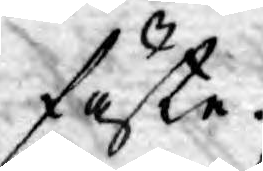fäste.
